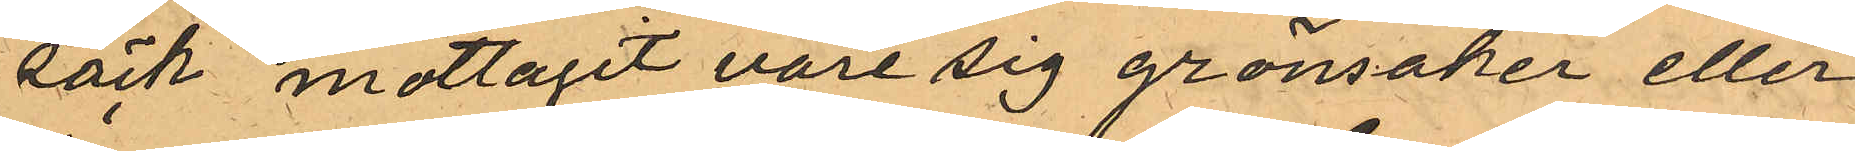säck mottagit vare sig grönsaker eller
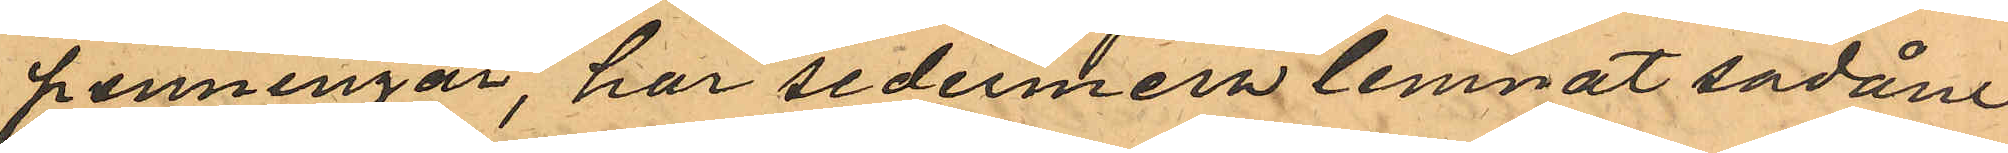penningar, har sedermera lemnat sadåne
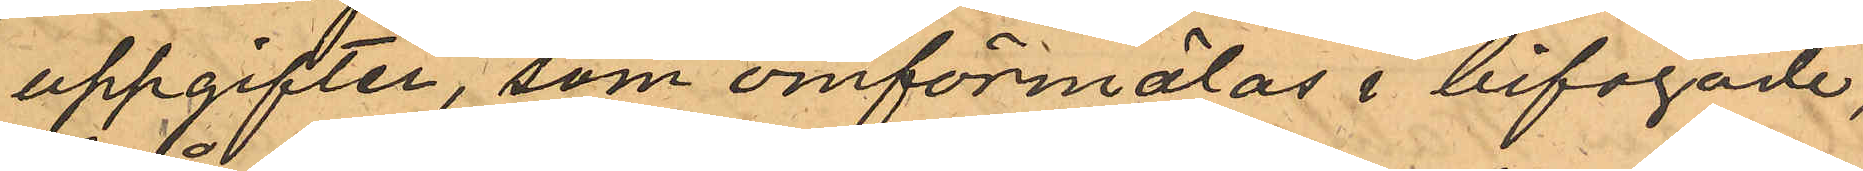uppgifter, som omförmälas i bifogade,
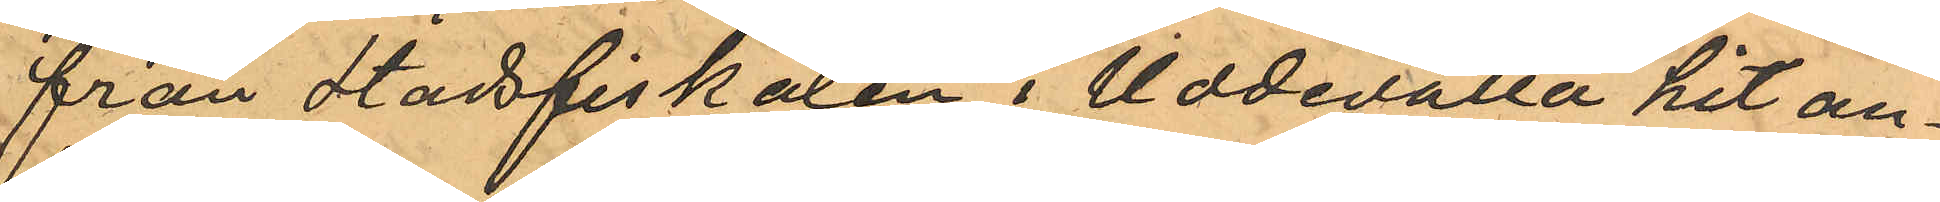från Stadsfiskalen i Uddevalla hit an¬
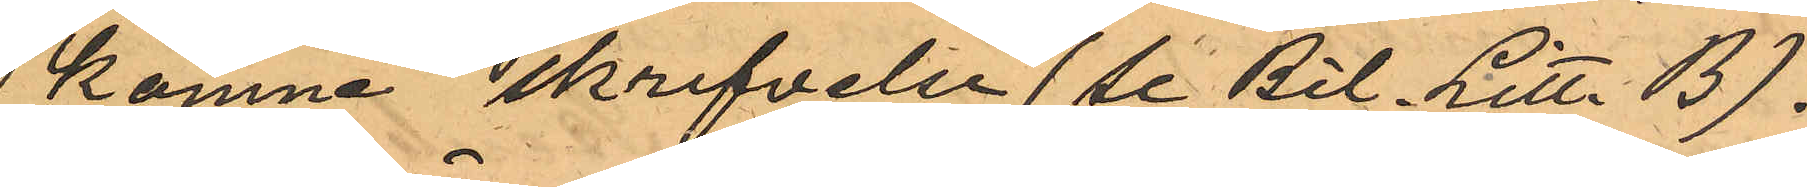komne skrifvelse (se Bil. Litt. B).
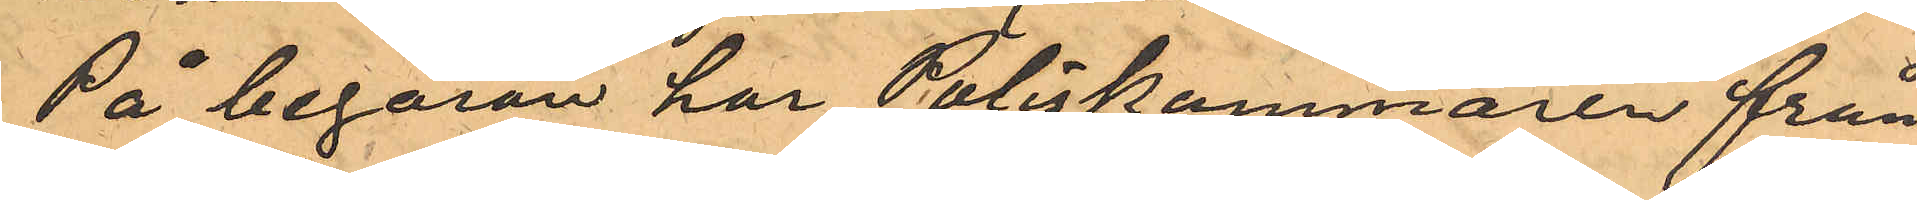På begäran har Poliskammaren från
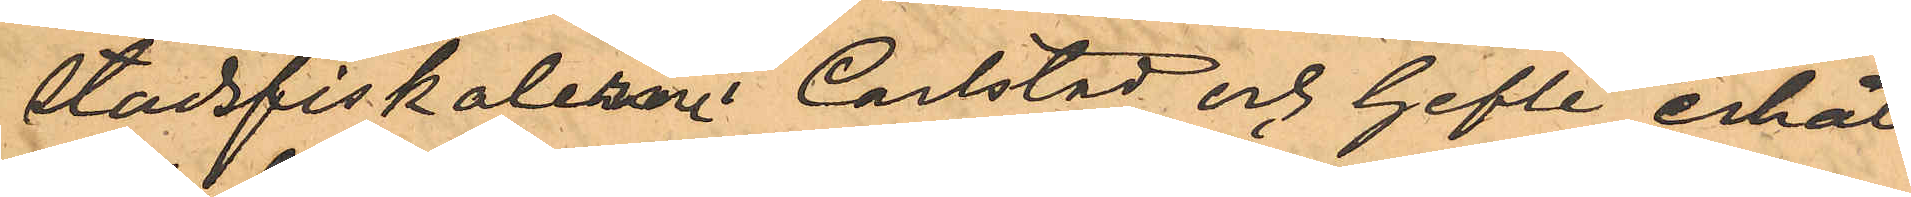Stadsfiskalerne i Carlstad och Gefle erhål¬
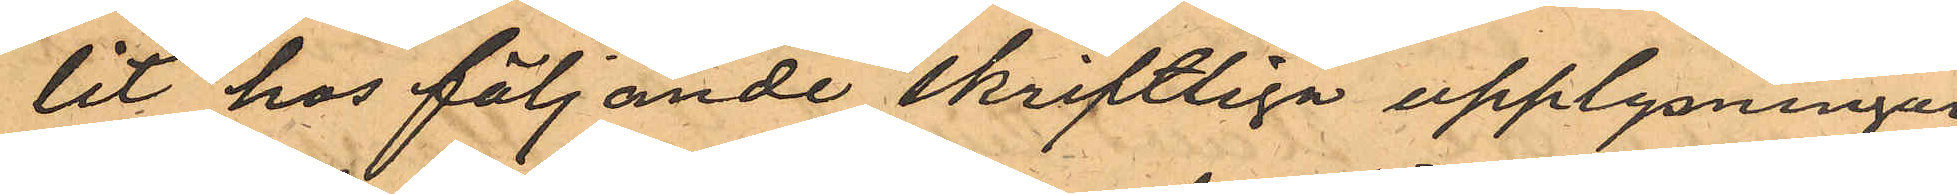lit hos följande skriftliga upplysningar
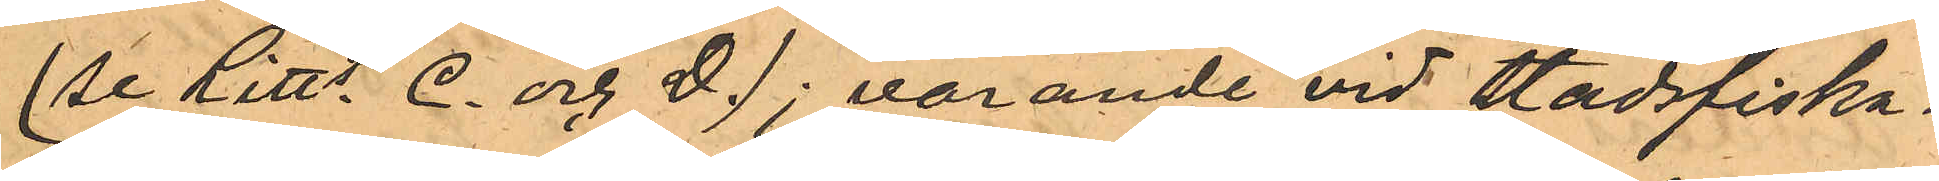(Se Litts C. och D.); varande vid Stadsfiska¬
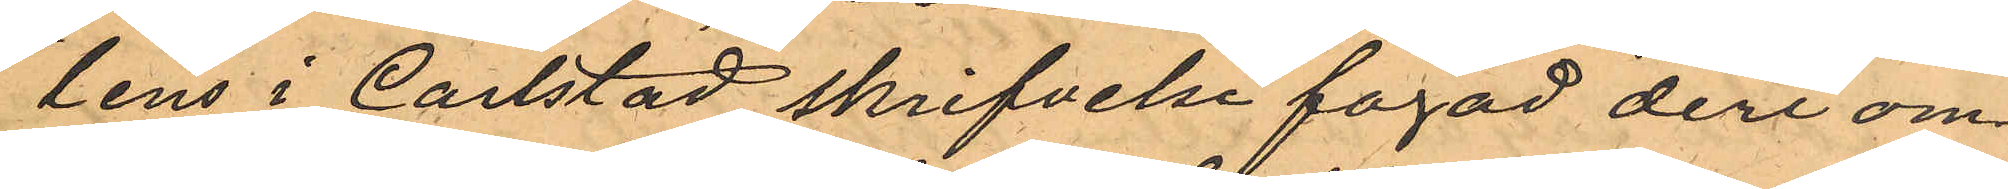lens i Carlstad skrifvelse fogad deri om¬
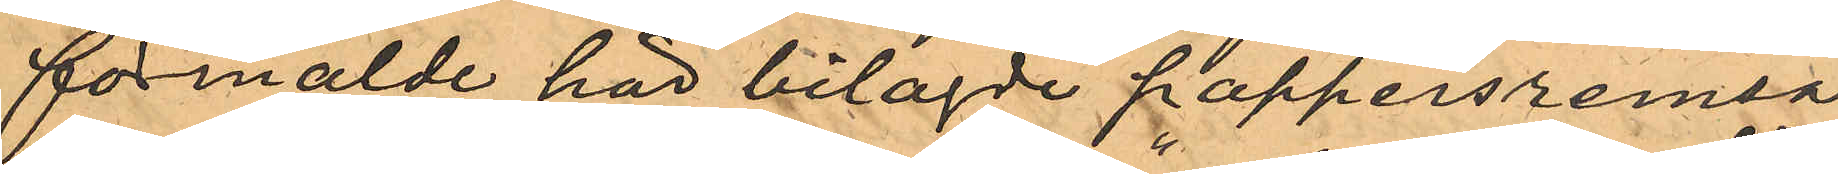förmälde här bilagde pappersremsa
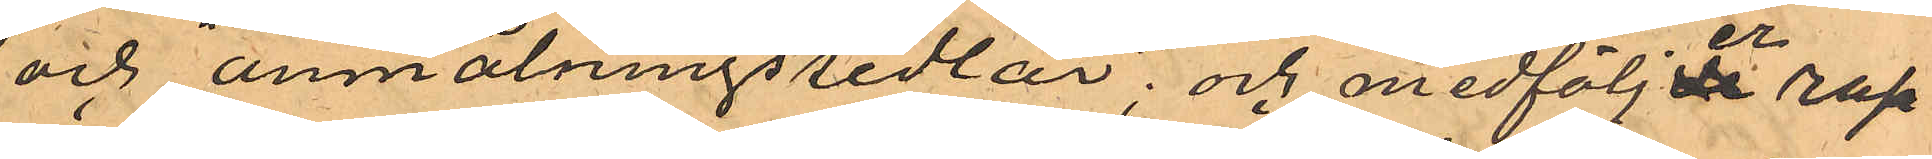och "anmälningssedlar"; och medföljer rap¬
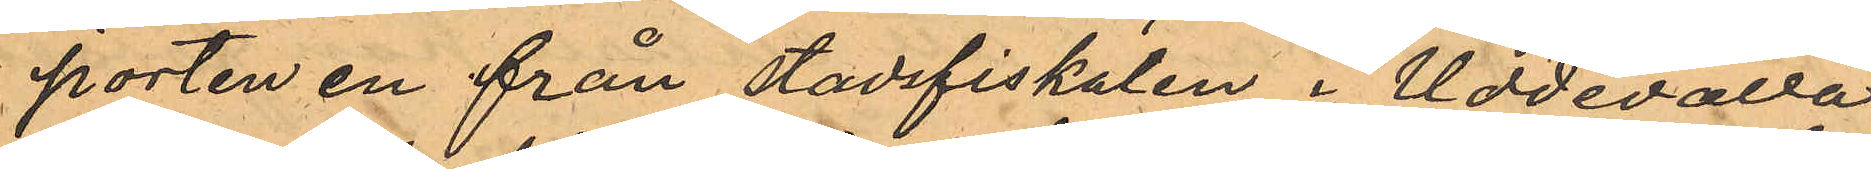porten en från stadsfiskalen i Uddevalla
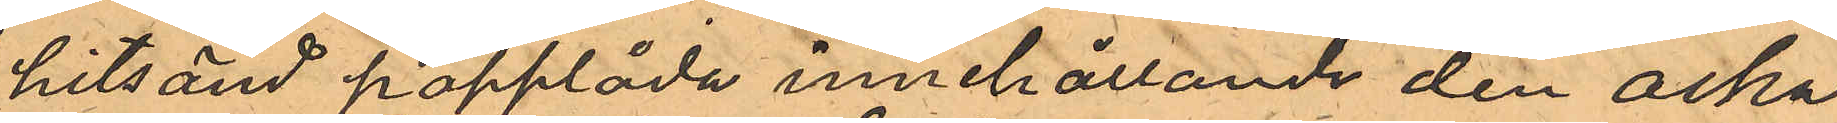hitsänd papplåda innehållande den aska
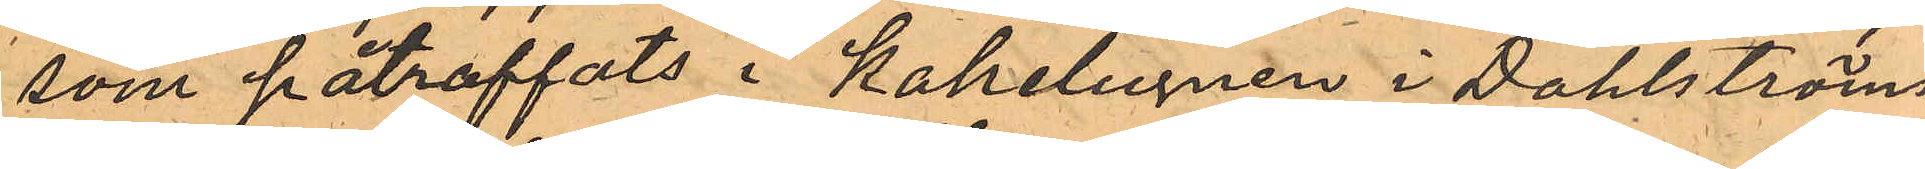som påtraffats i Kakelugnen i Dahlströms
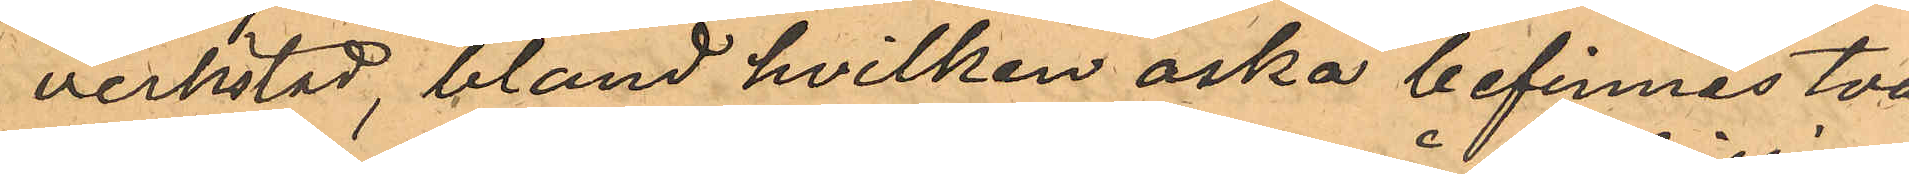verkstad, bland hvilken öska befinnes två
